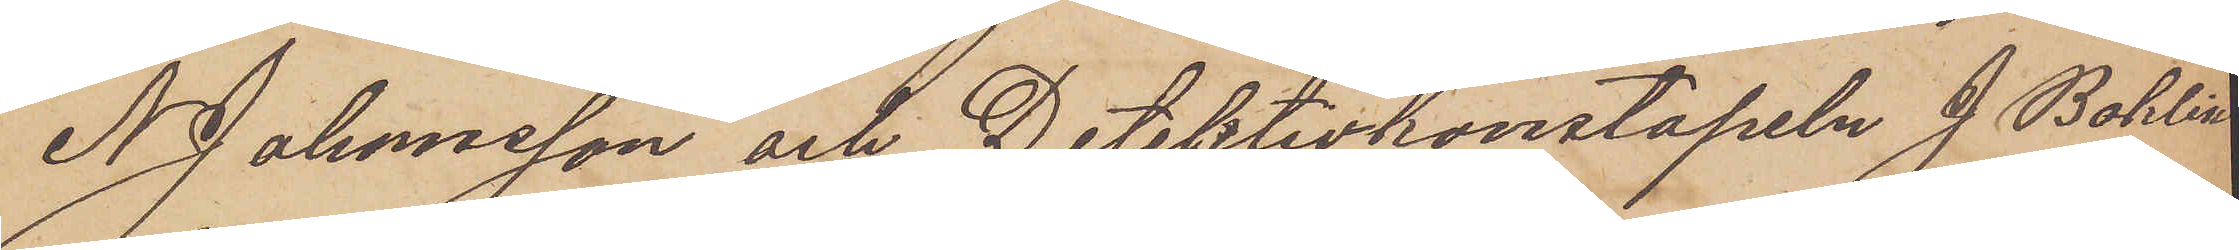N. Johnsson och Detektivkonstapeln J. Bohlin
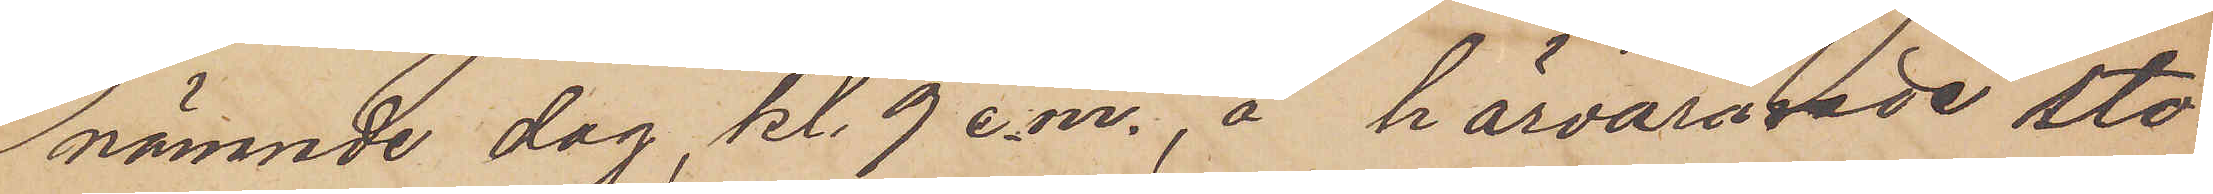nämnde dag, kl. 9 e.m., å härvarande sto¬
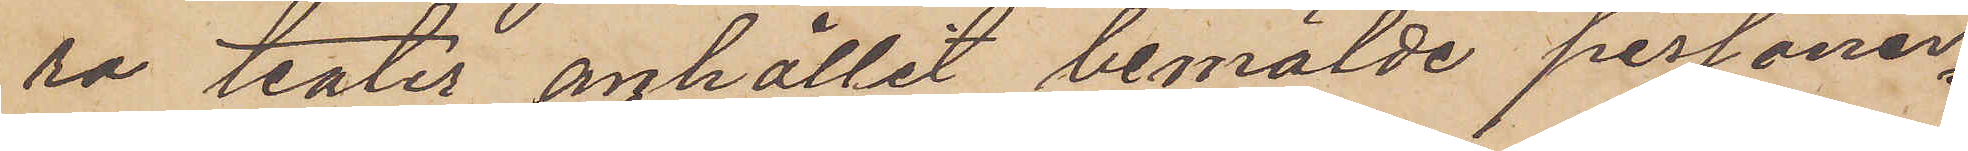ra teater anhållit bemälde personer
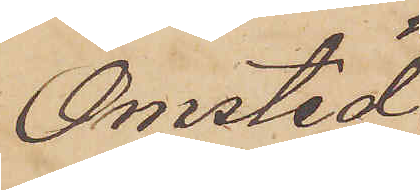Omsted
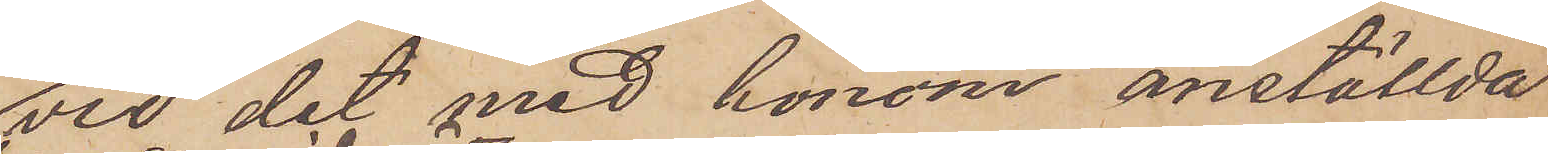vid det med honom anställda
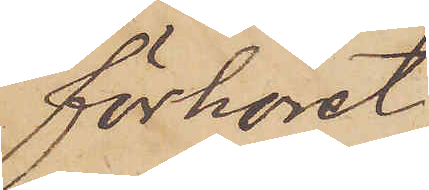förhöret
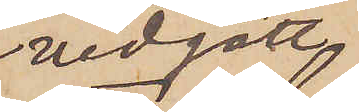vidgått,
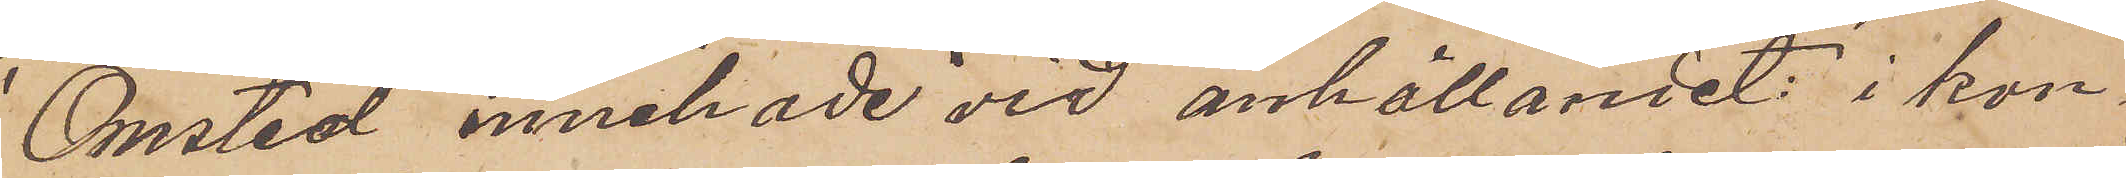Omsted innehade vid anhållandet: i kon¬
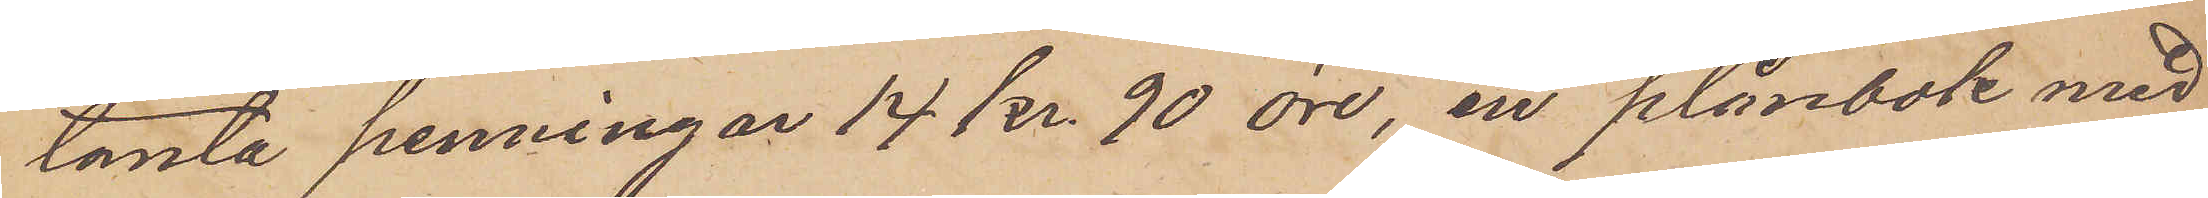tanta penningar 14 kr. 90 öre, en plånbok med
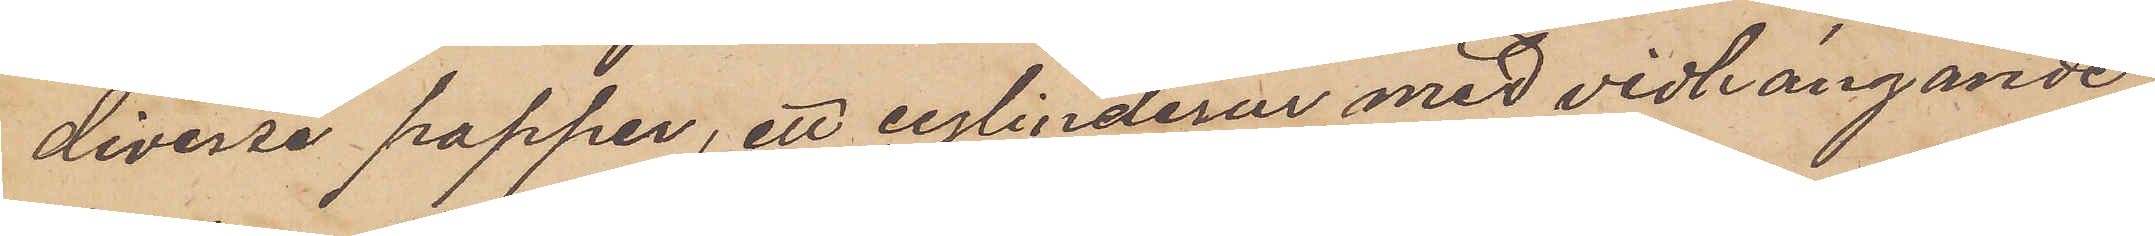diverse papper, ett cylinderur med vidhängande
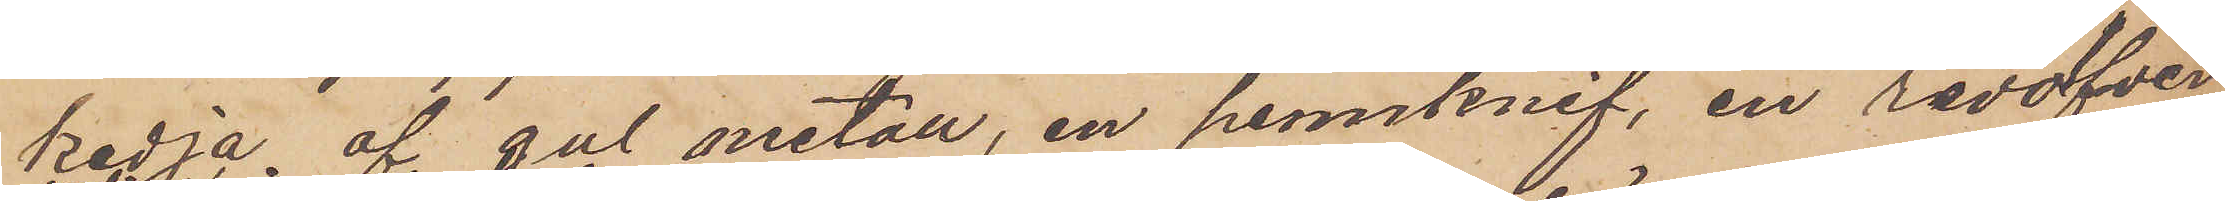kedja af gul metall, en pennknif, en revolfver
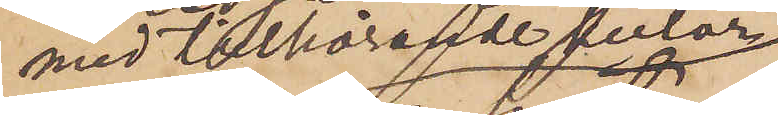med tillhörande kulor
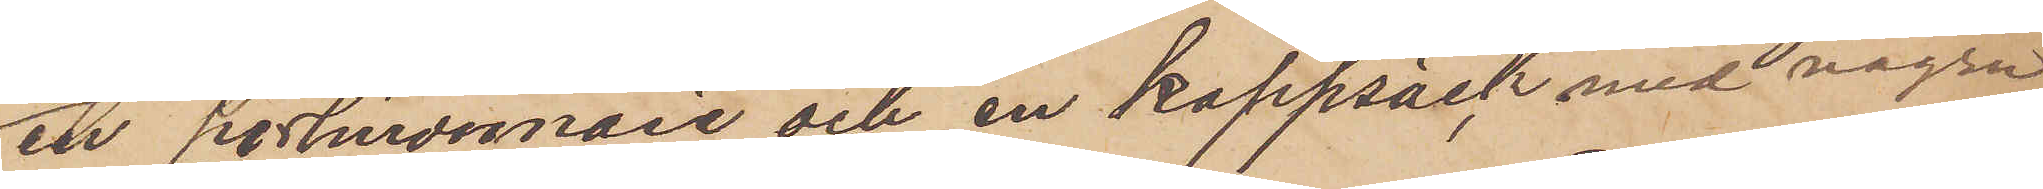en portmonnaie och en kappsäck med några
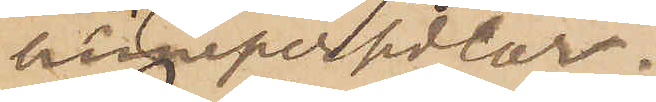linnepersedlar.
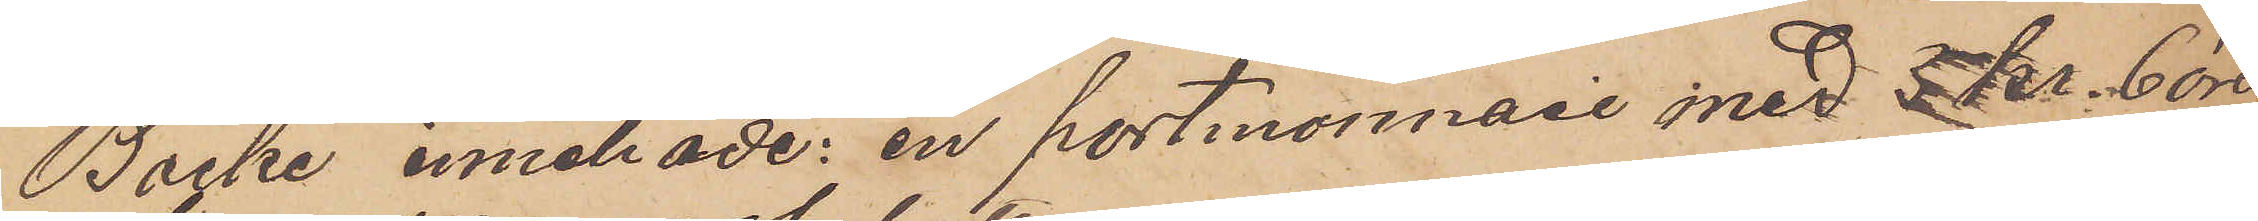Backe innehade: en portmonnaie med 5 Kr. 6 öre
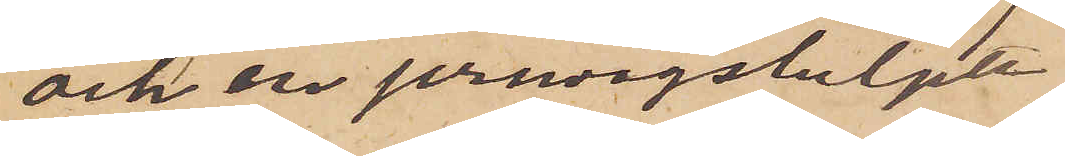och en jernvegsbiljett.
